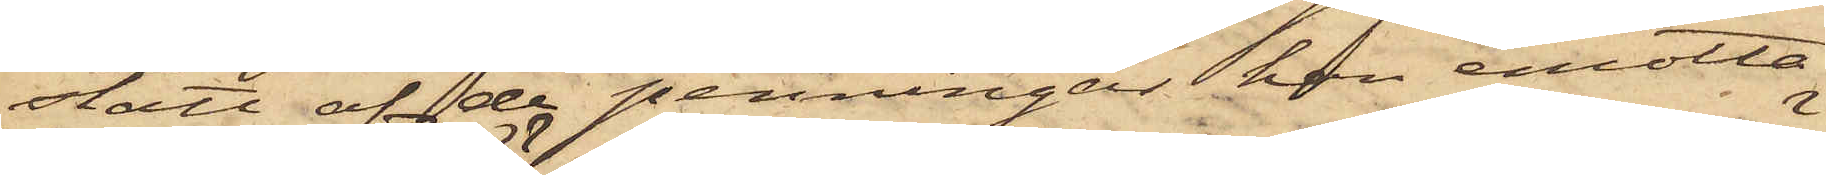stått af de penningar han emotta¬
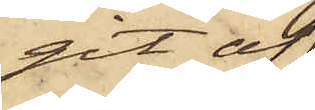git af
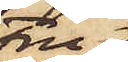Fru
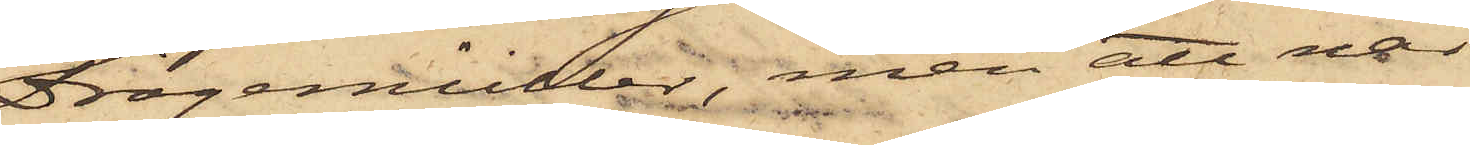Drögemüller, men att när
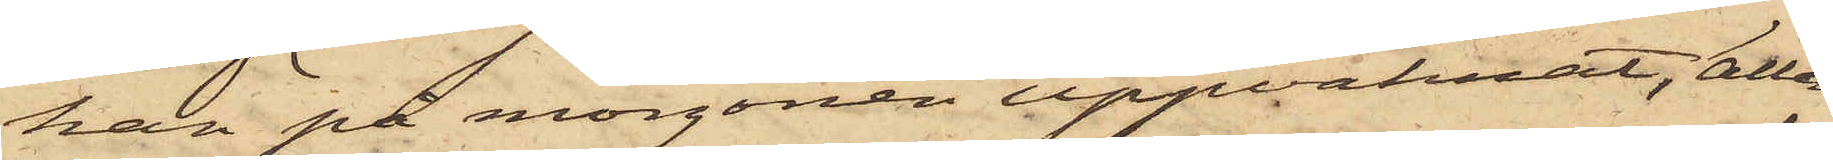han på morgonen uppvaknat, alla
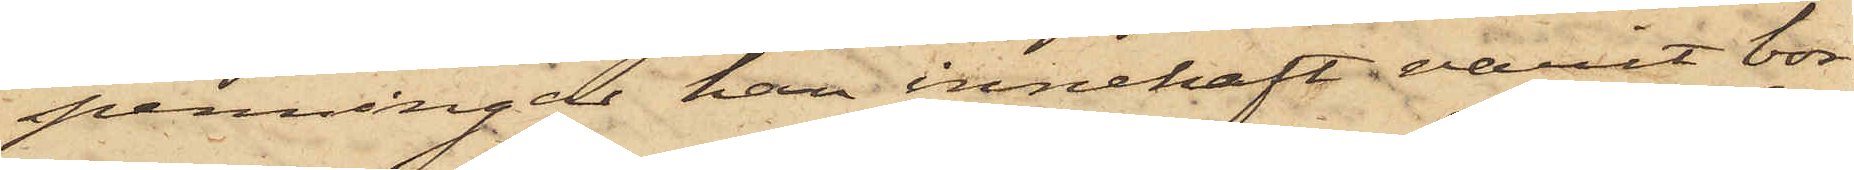penningar han innehaft varit bor¬
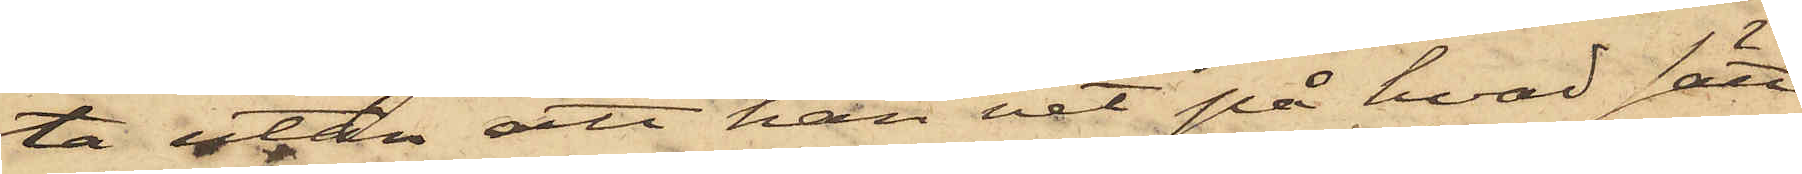ta utan att han vet på hvad sätt
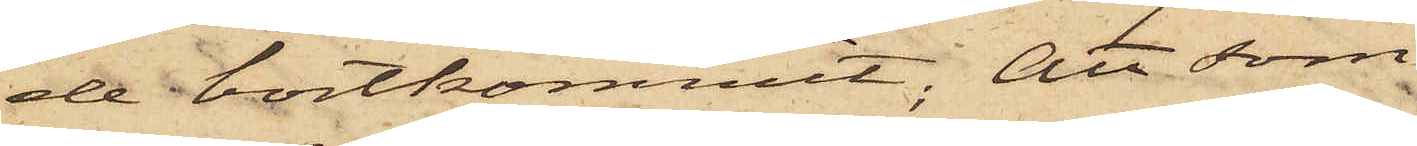de bortkommit; Att som
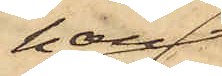han
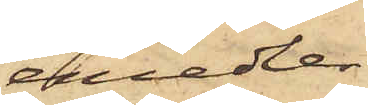emedler¬
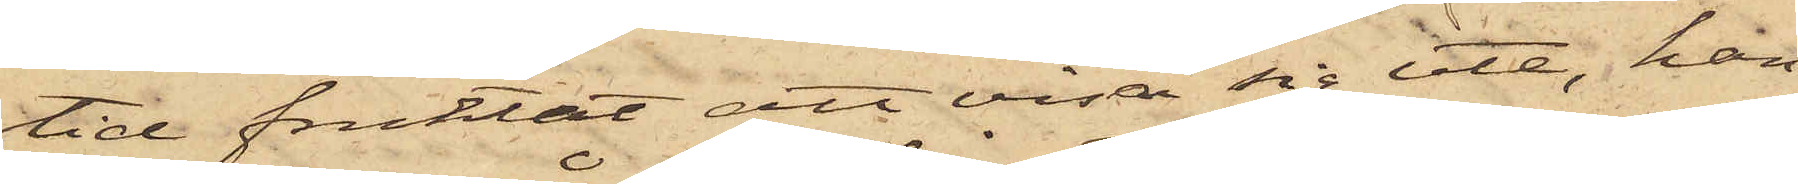tid fruktat att visa sig ute, han
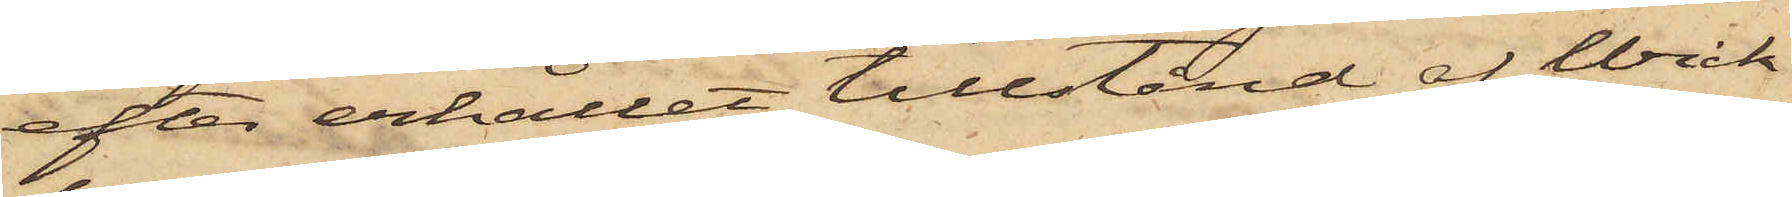efter erhållit tillstånd af Wick¬
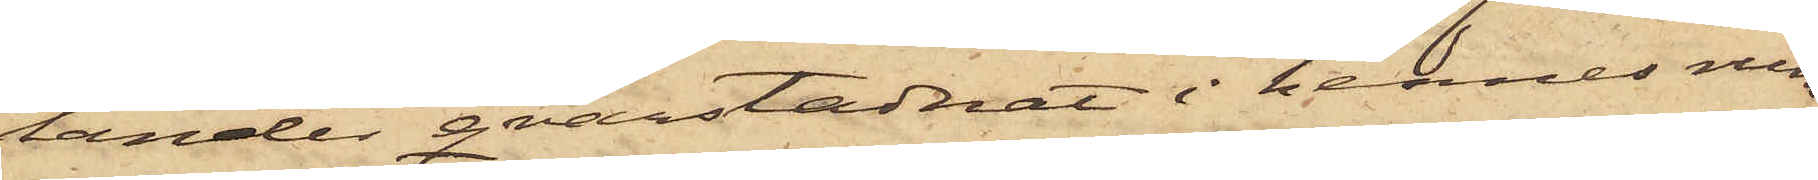lander qvarstadnat i hennes rum
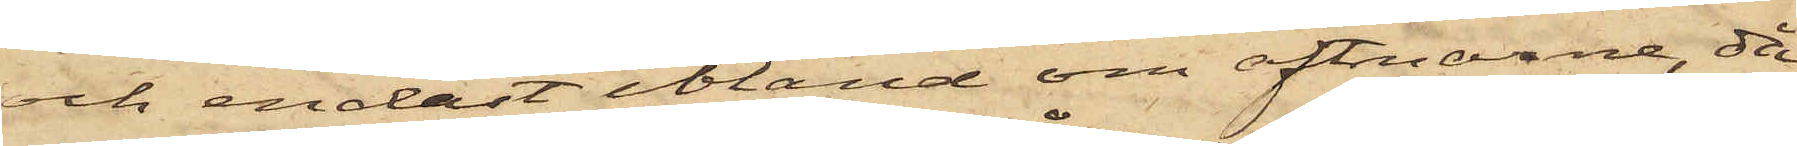och endast ibland om aftnarne, då
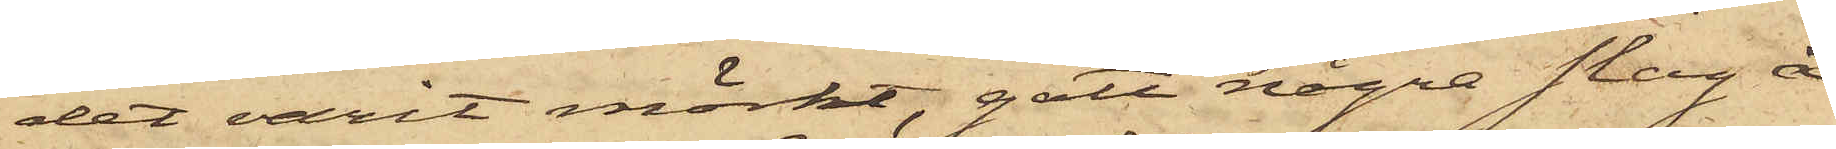det varit mörkt, gått några slag å
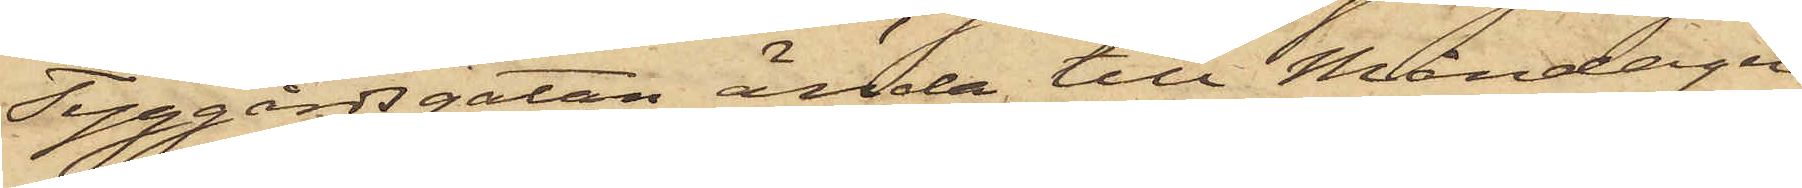Tyggårdsgatan ända till Måndagen
